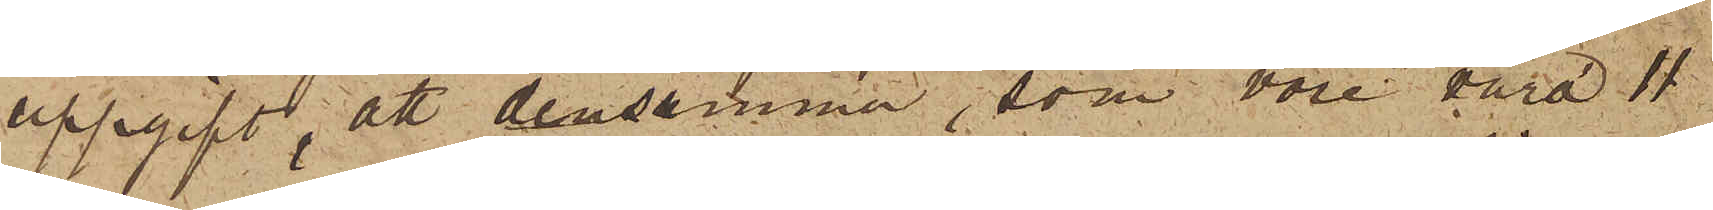uppgift, att densamma, som vore värd 11
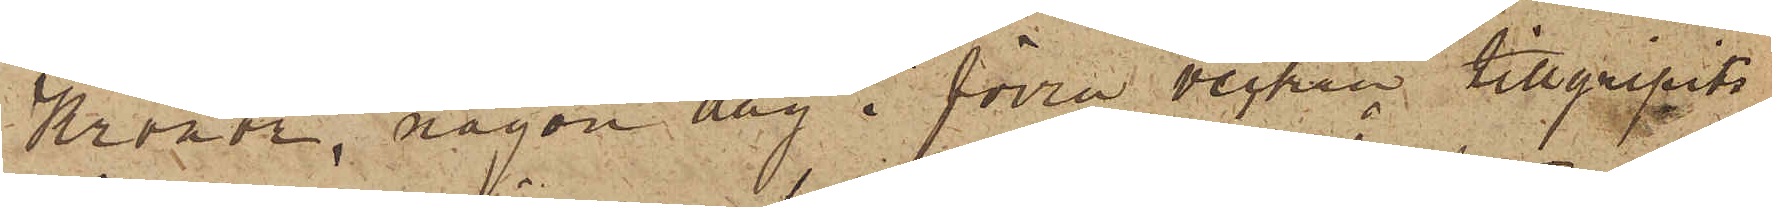Kronor, någon dag i förra vecken tillgripits
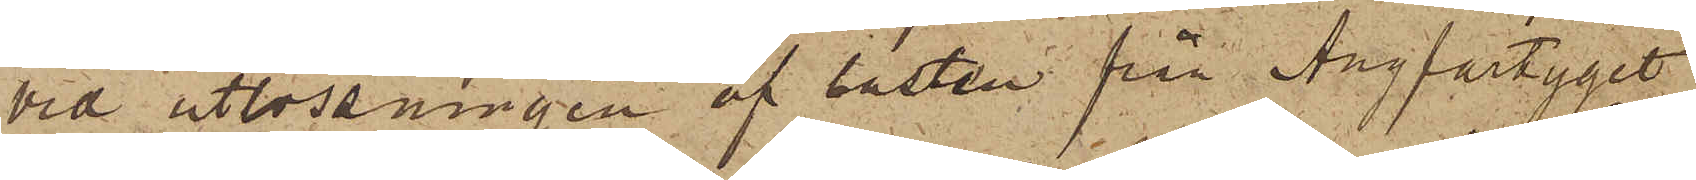vid utlossningen af lasten från Ångfartyget
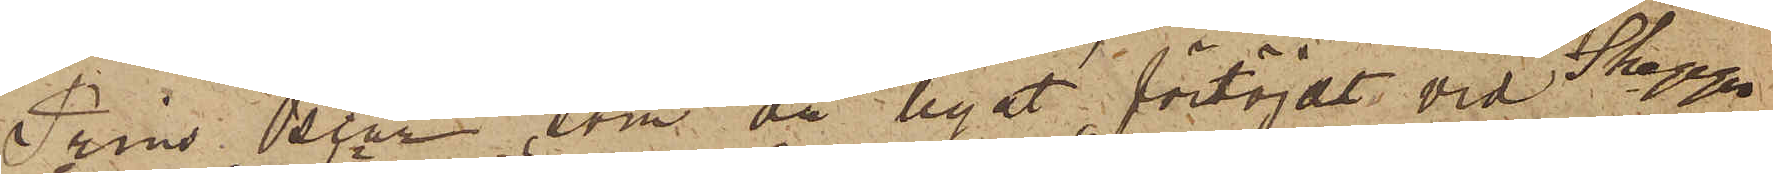Prins Oscar, som då legat förtöjdt vid Skepps¬
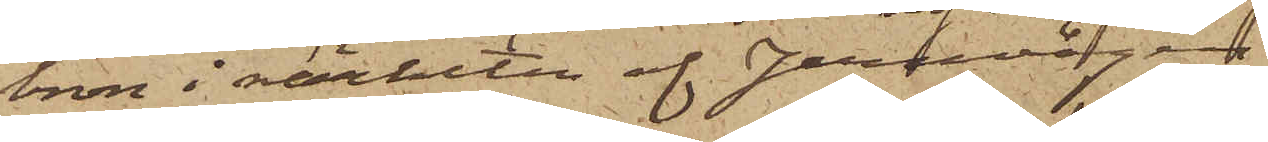bron i närheten af Jernvågen.
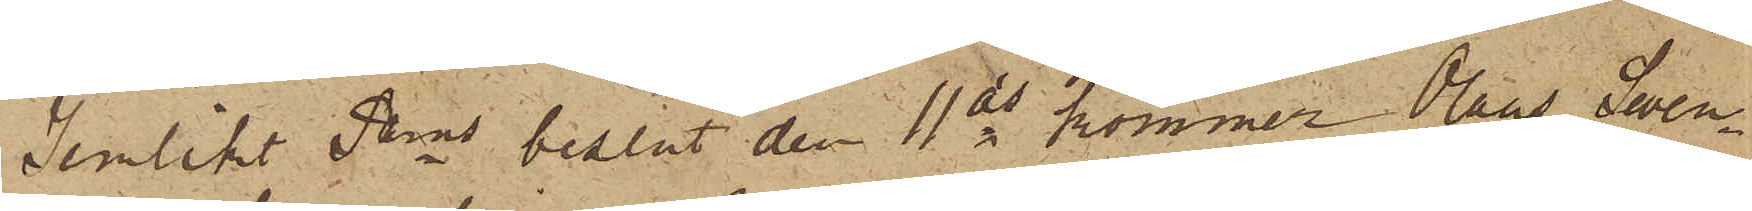Jemlikt Pkns beslut den 11 ds kommer Olaus Swen¬
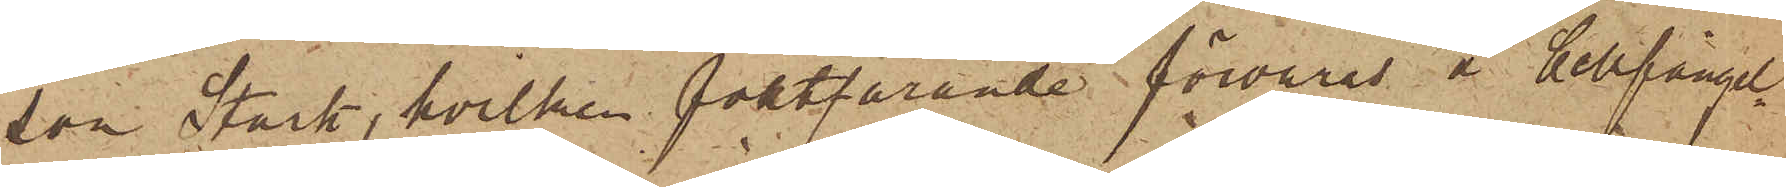son Stark, hvilken fortfarande förvaras å Cellfängel¬
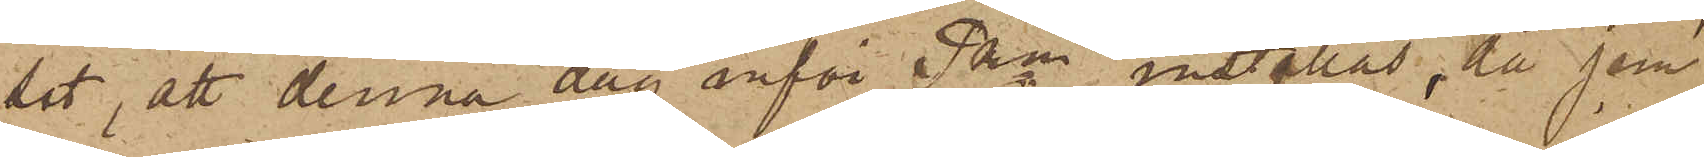set, att denna dag inför Pkn inställas, då jem¬
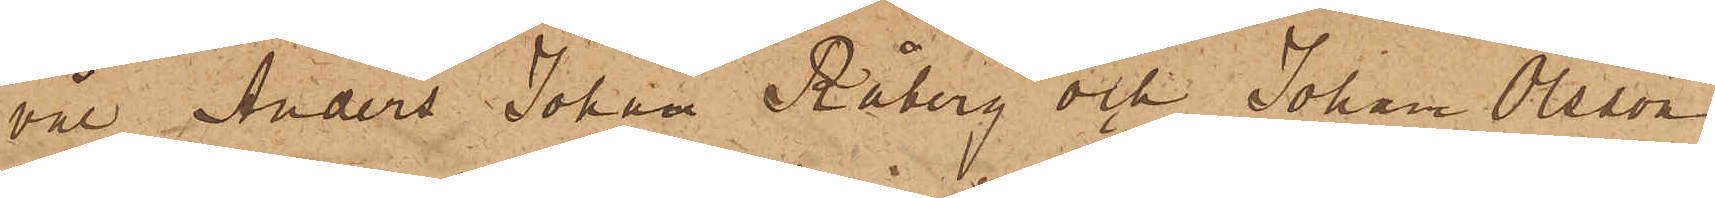väl Anders Johan Råberg och Johan Olsson
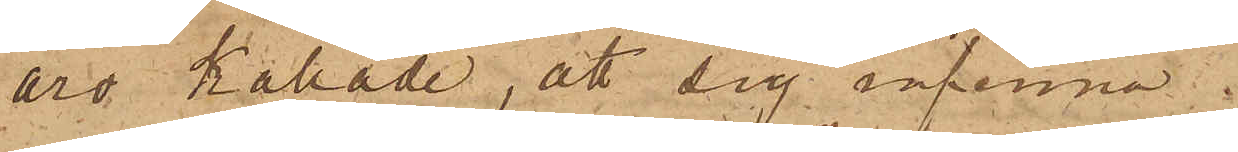äro kallade, att sig infinna.
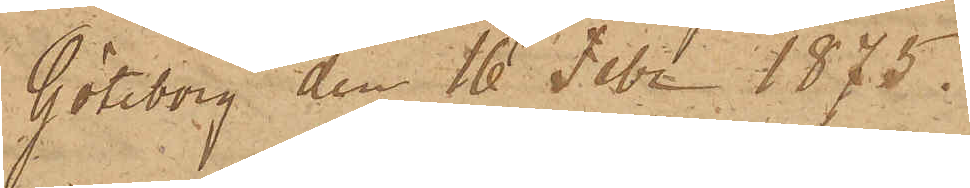Göteborg den 16 Febr. 1875.
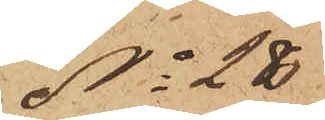No 28
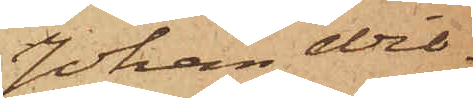Johan Wil¬
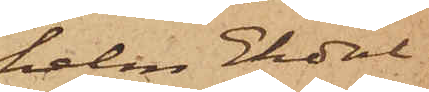helm Ekdal.
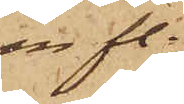m fl.
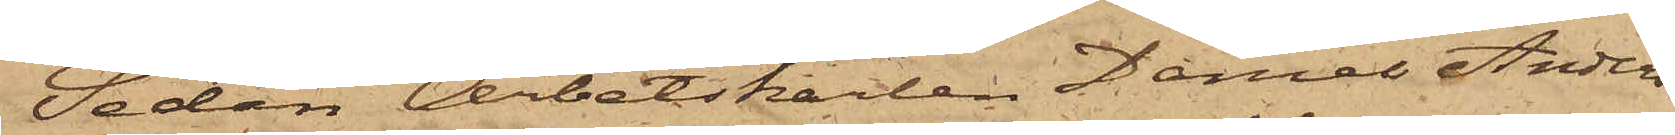Sedan Arbetskarlen Daniel Anders¬
